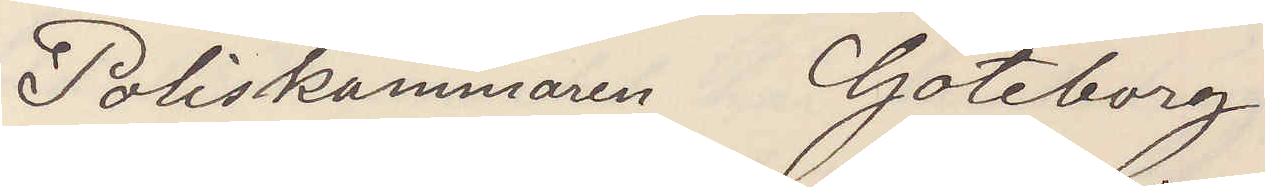Poliskammaren Göteborg
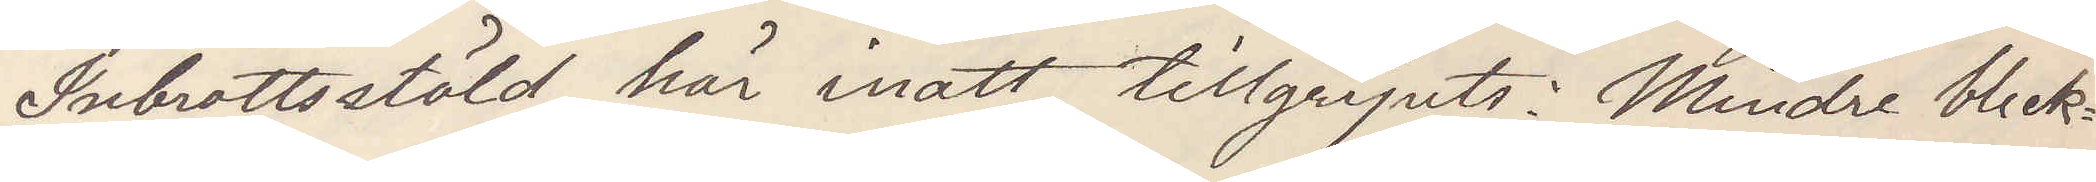Inbrottsstöld här inatt tillgripits: Mindre bleck¬
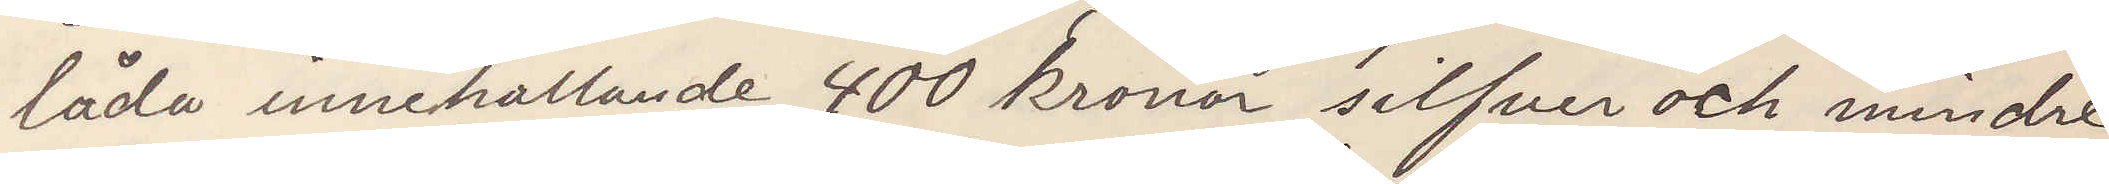låda innehållande 400 kronor silfver och mindre
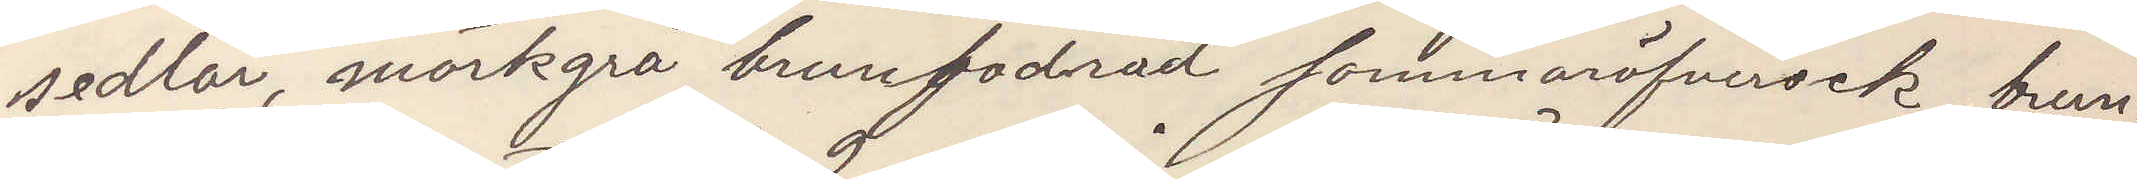sedlar, mörkgrå brunfodrad sommaröfverrock brun¬
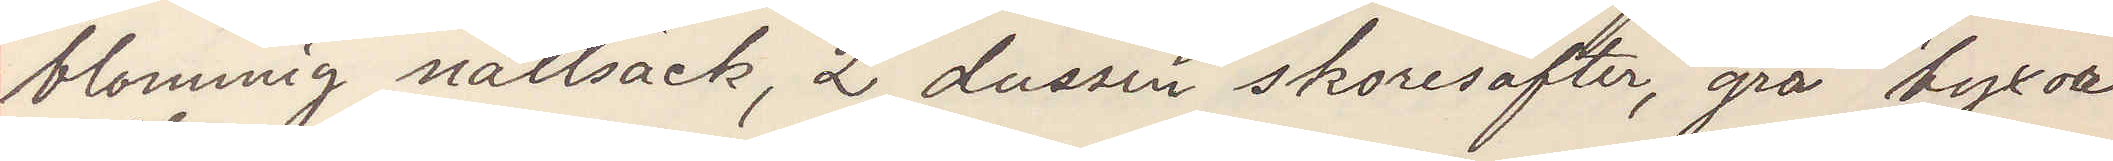blommig nattsäck, 2 dussin skoresäfter, grå byxor
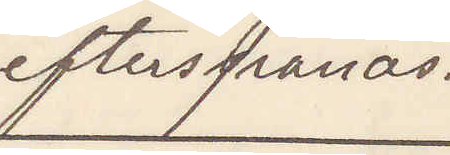efterspanas.
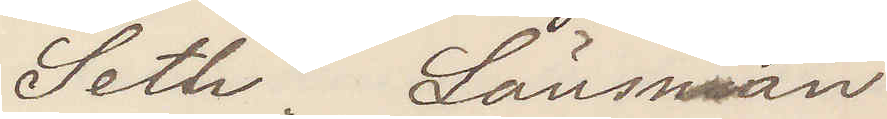Seth. Länsman
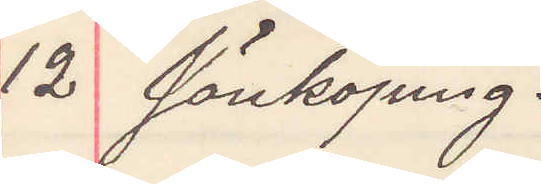12 Jönköping.
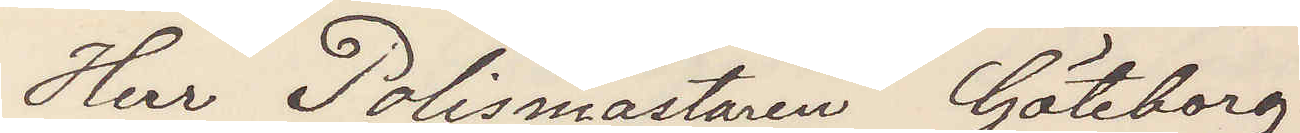Herr Polismästaren Göteborg
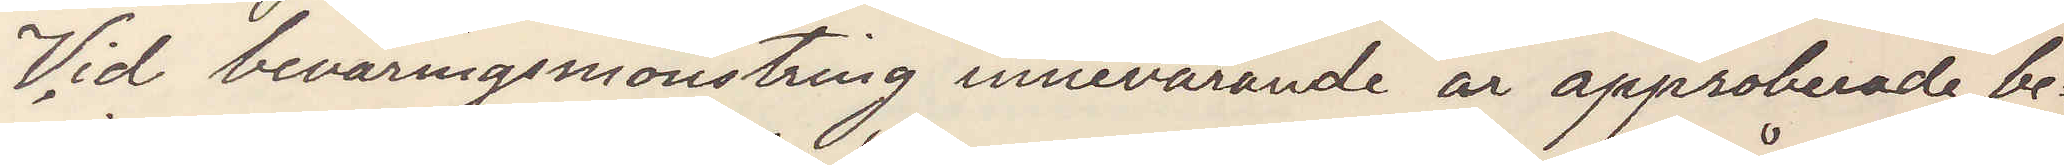Vid beväringsmönstring innevarande år approberade be¬
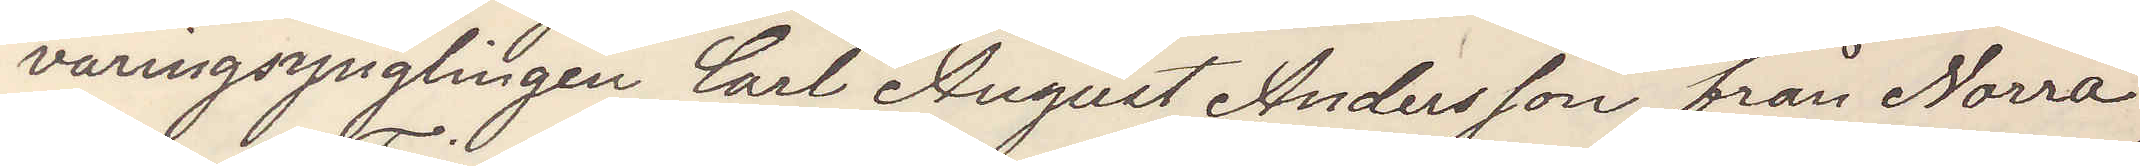väringsynglingen Carl August Andersson från Norra
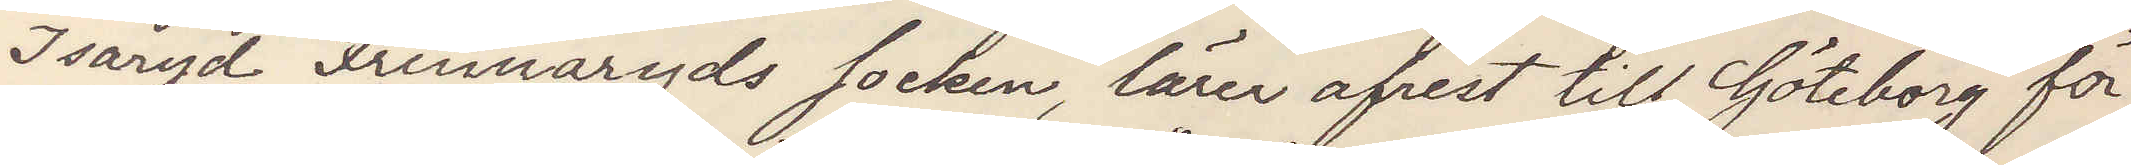Isaryd Finnaryds socken, lärer afrest till Göteborg för
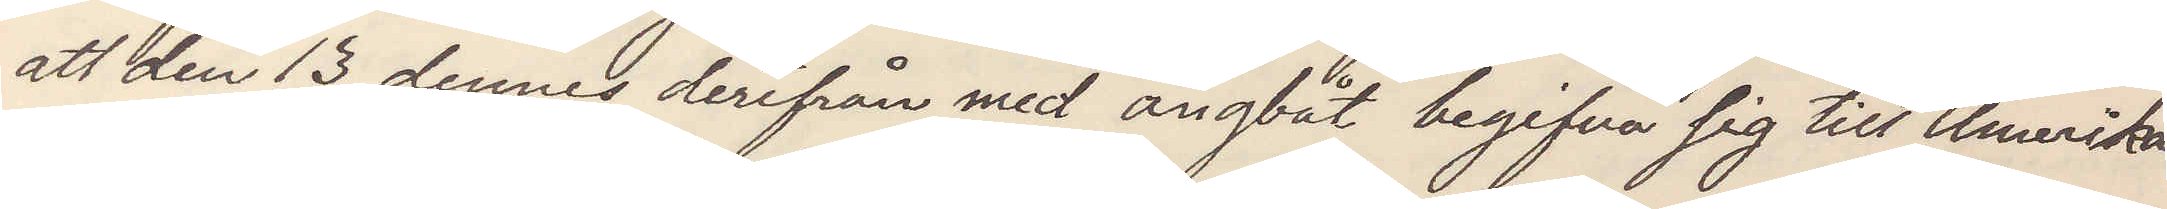att den 13 dennes derifrån med ångbåt begifva sig till Amerika
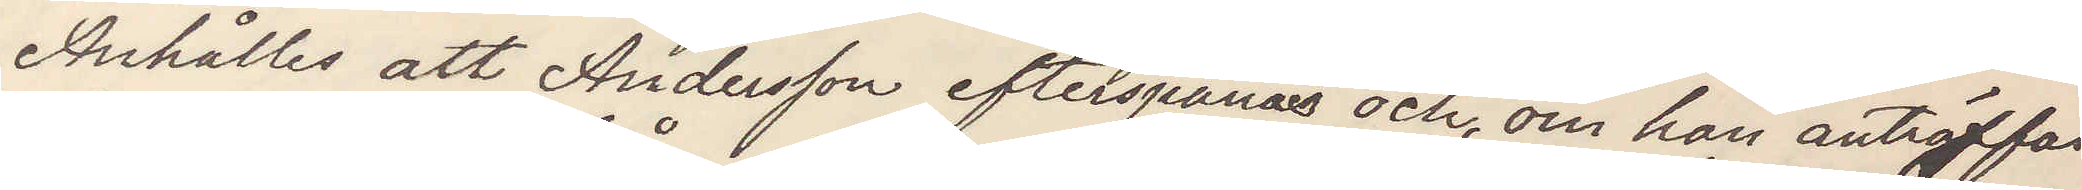Anhålles att Andersson efterspanas och, om han anträffas
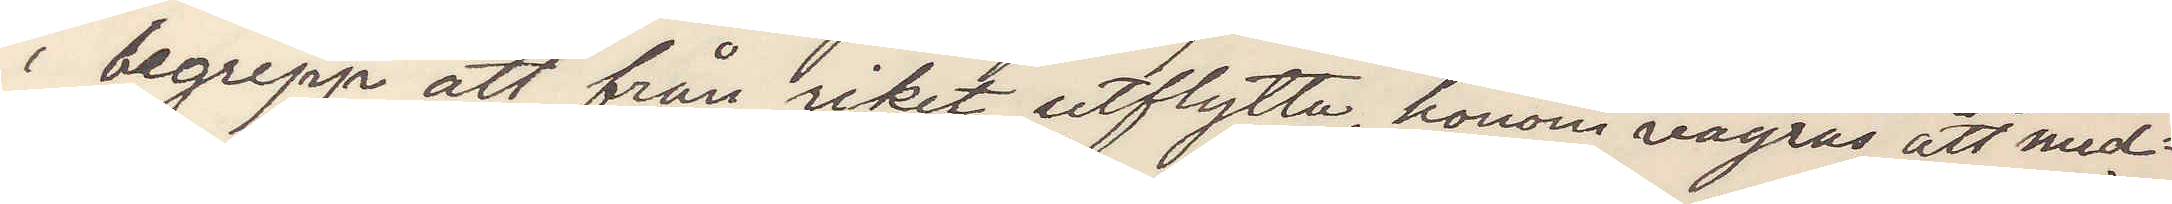i begrepp att från riket utflytta, honom vägras att med¬
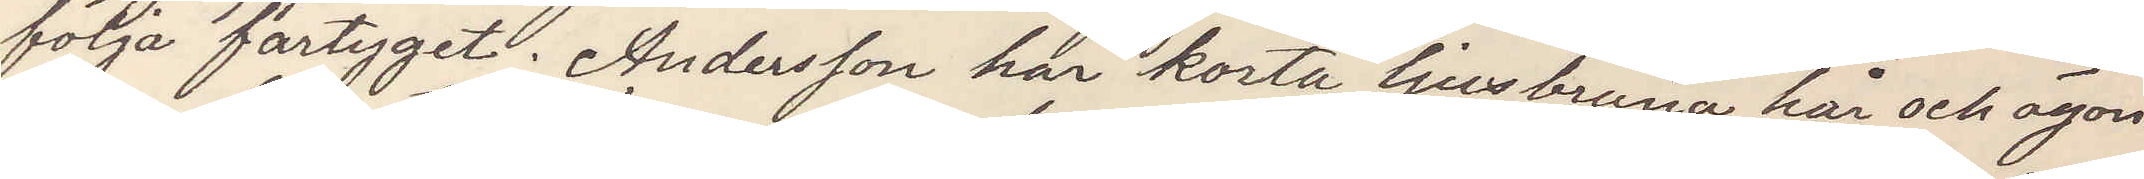följa fartyget. Andersson har korta ljusbruna hår och ögon¬
